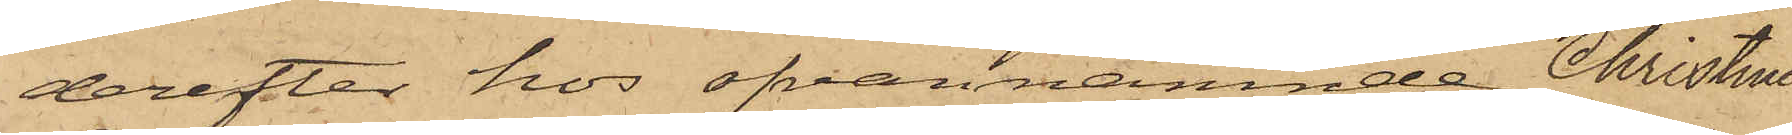derefter hos ofvannämnde Christine
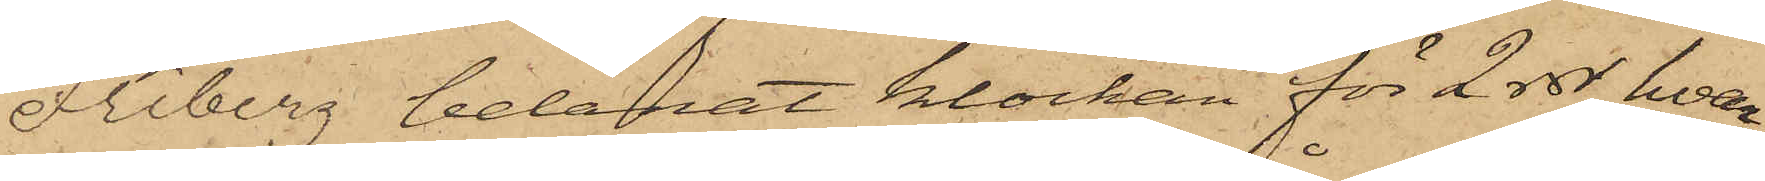Friberg belånat klockan för 2 rdr, hvar¬
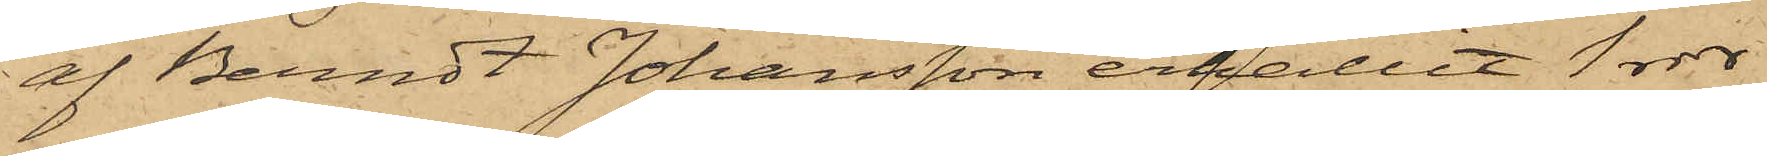af Berndt Johansson erhållit 1 rdr
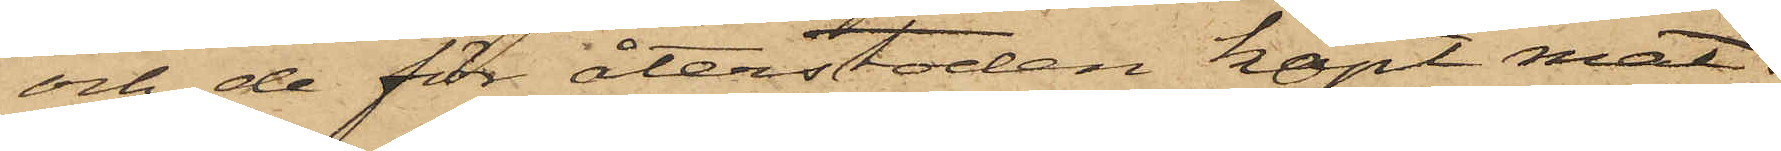och de för återstoden köpt mat;
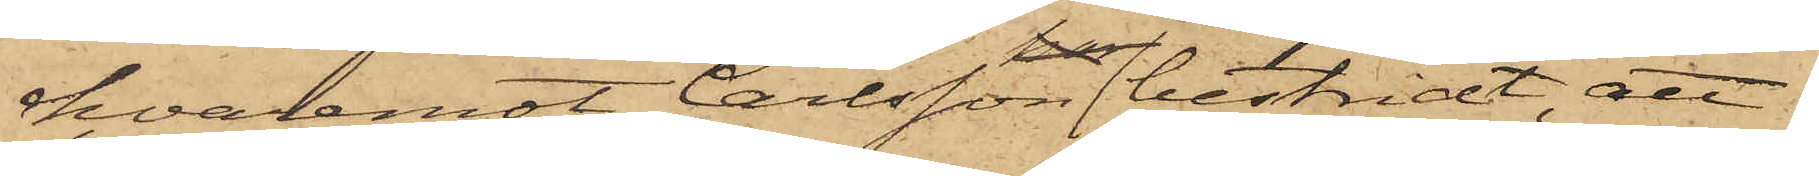hvaremot Carlsson bestridt, att
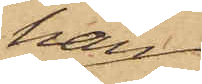han
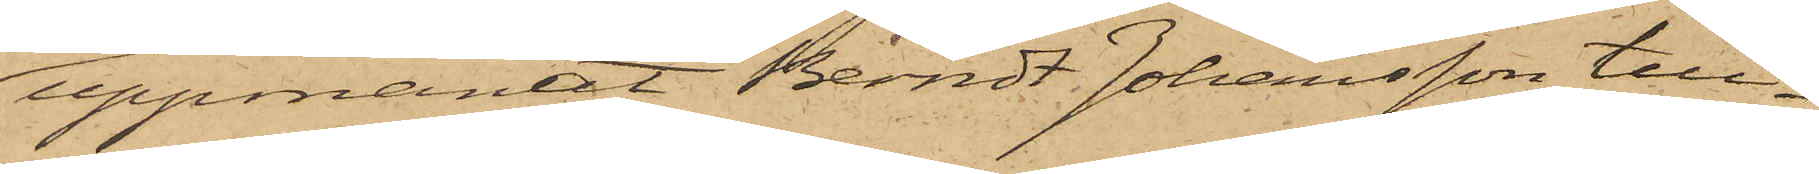uppmanat Berndt Johansson till¬
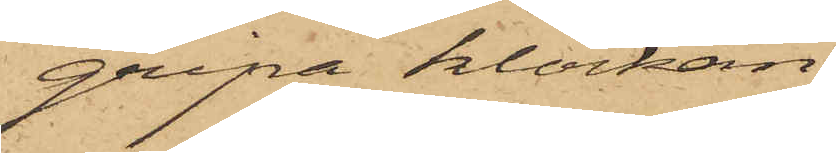gripa klockan.
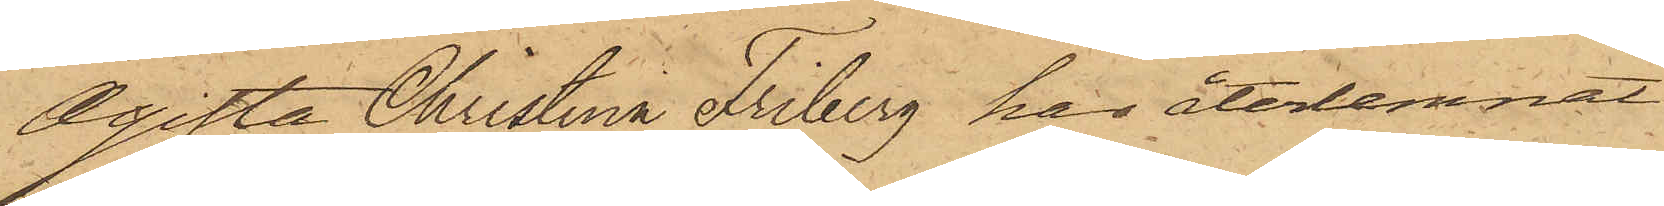Ogifta Christina Friberg har återlemnat
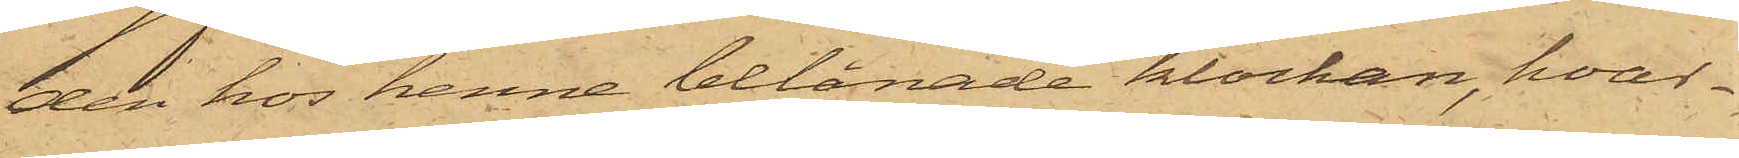den hos henne belånade klockan, hvar¬
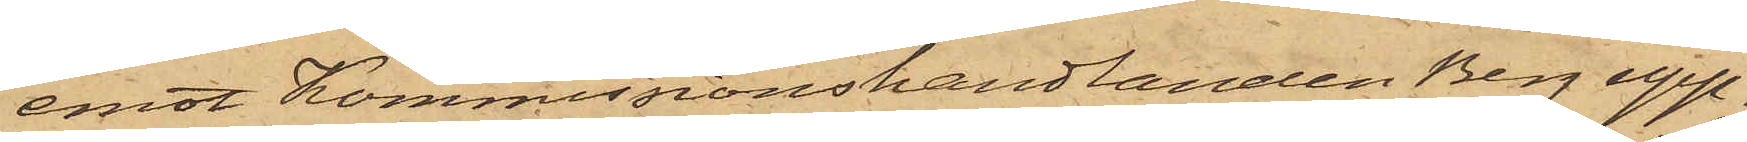emot Kommissionshandlanden Berg upp¬
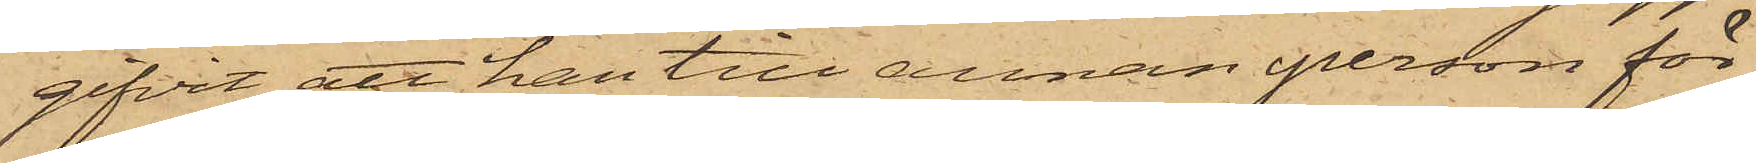gifvit att han till annan person för
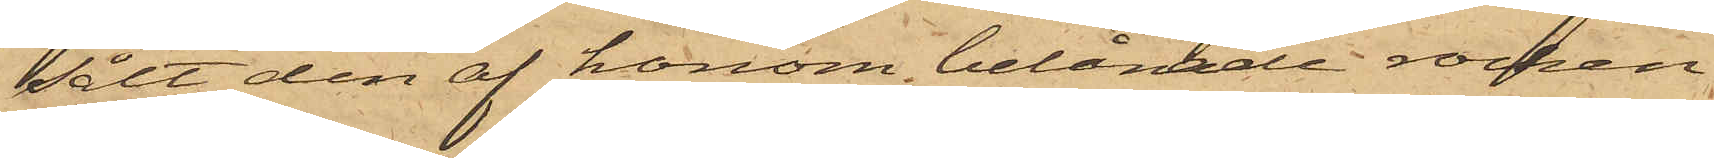sålt den af honom belånade rocken,
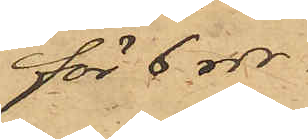för 6 rdr.
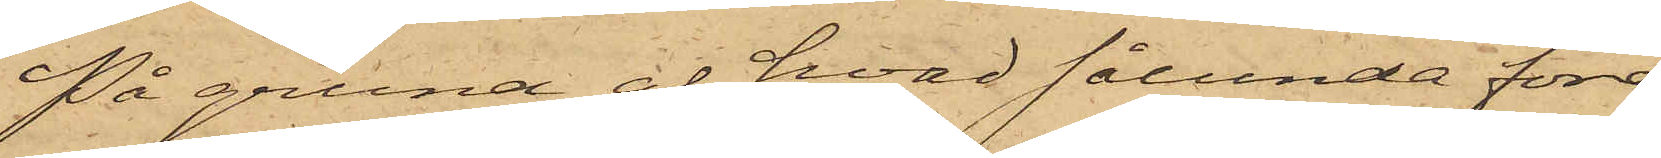På grund af hvad sålunda före¬
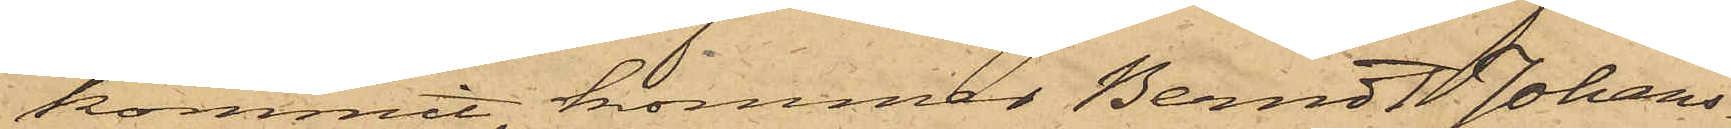kommit, kommer Berndt Johans¬
